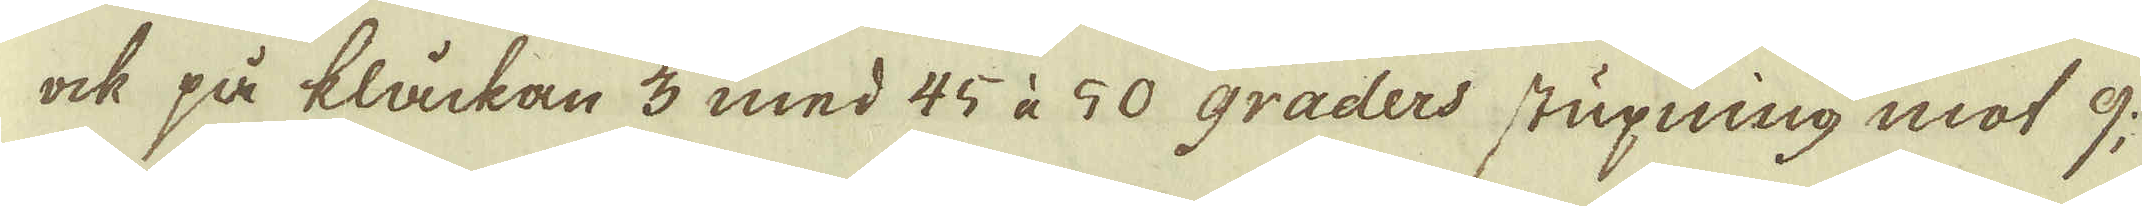ock på klåckan 3 med 45 à 50 graders stupning mot 9;
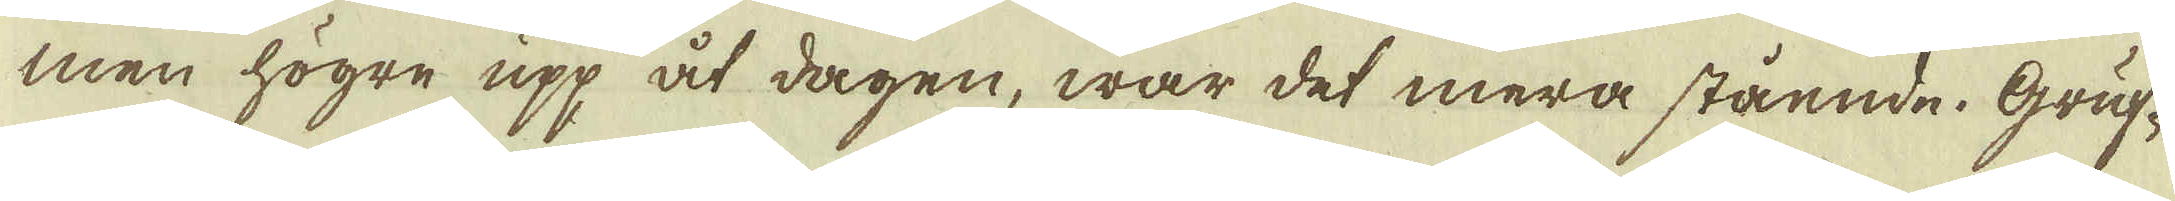men högre upp åt dagen, war det mera stående. Gruf-
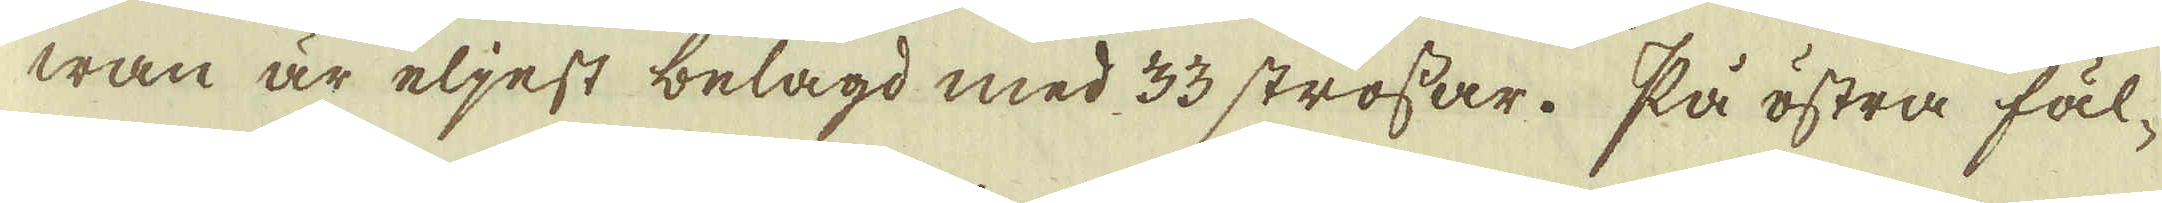wan är eljest belagd med 33 strossar. På östra fäl-
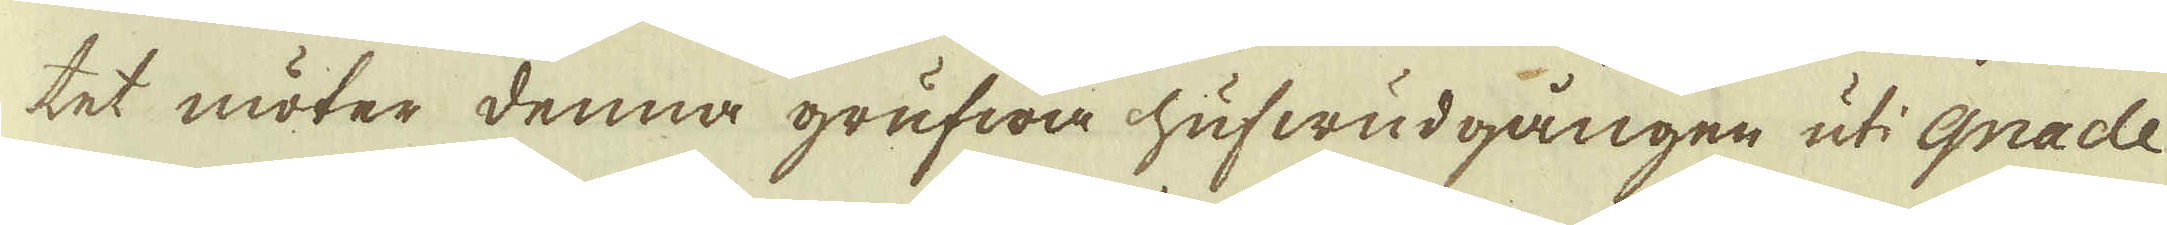tet möter denna grufw	a hufwudgången uti Gnade
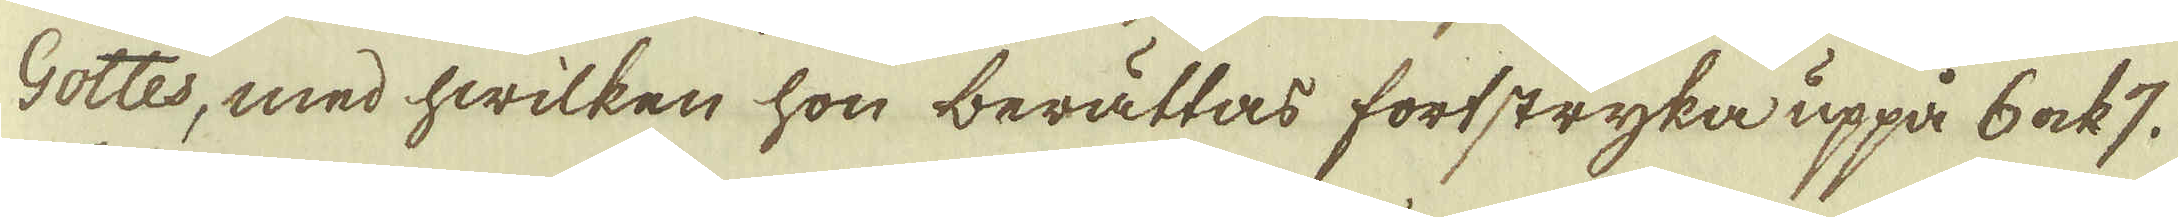Gottes, med hwilken hon berättas fortstryka uppå 6 ock 7.
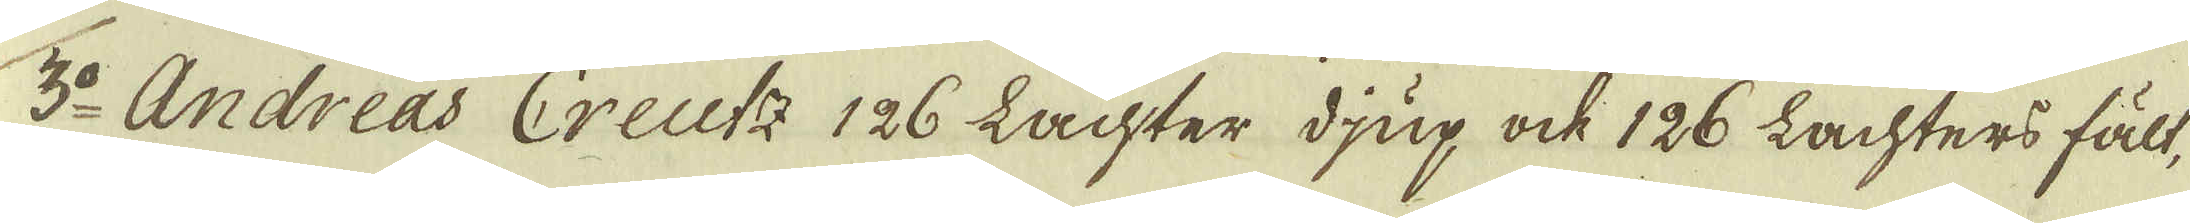3:o Andreas Creutz 126 Lachter djup ock 126 Lachters fält,
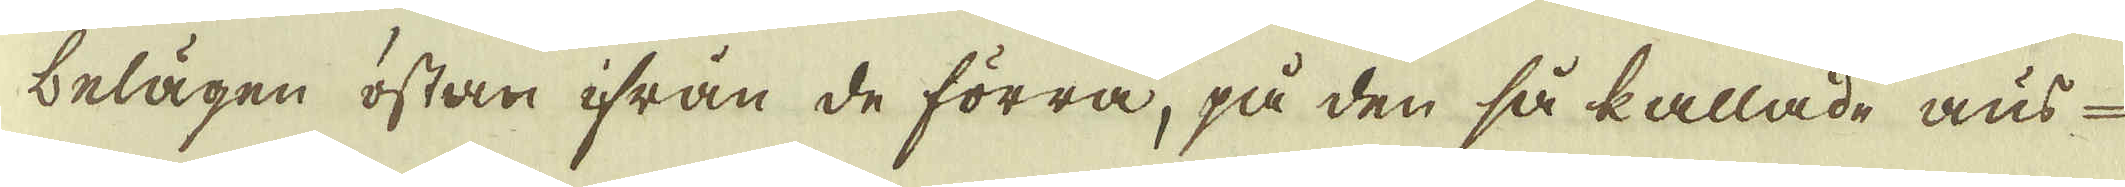belägen östan ifrån de förra, på den så kallade aus-
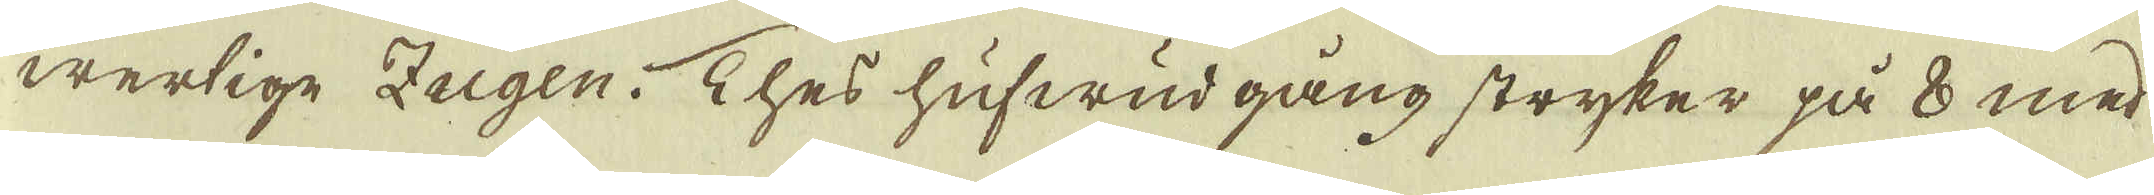wertige Zugen. Thes hufwud gång stryker på 8 med
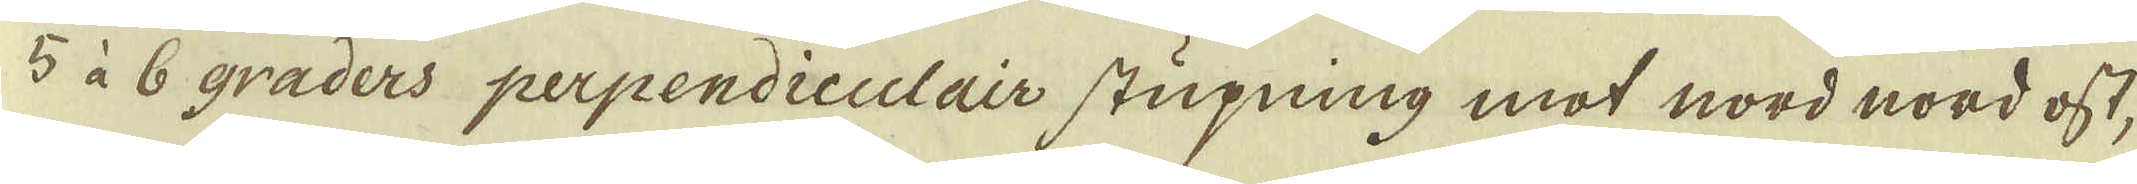5 à 6 graders perpendiculair stupning mot nord nord ost,
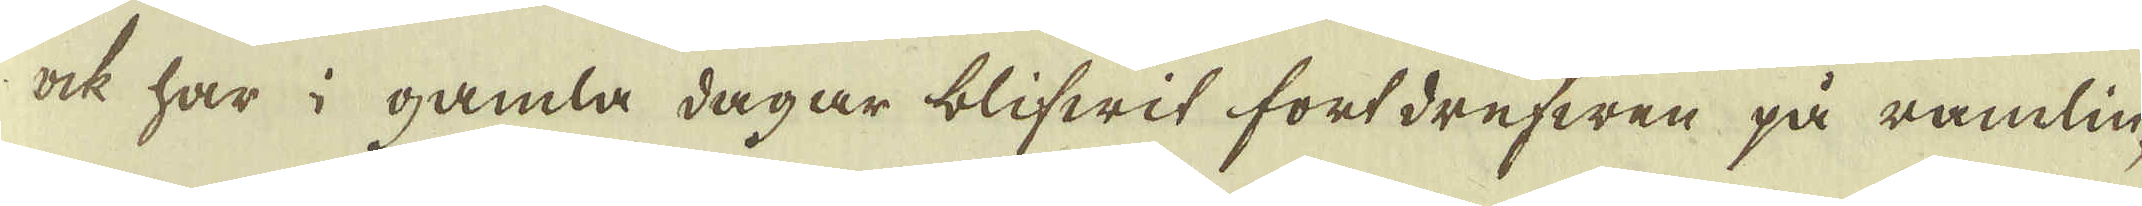ock har i gamla dagar blifwit fortdrefwen på ramlin-
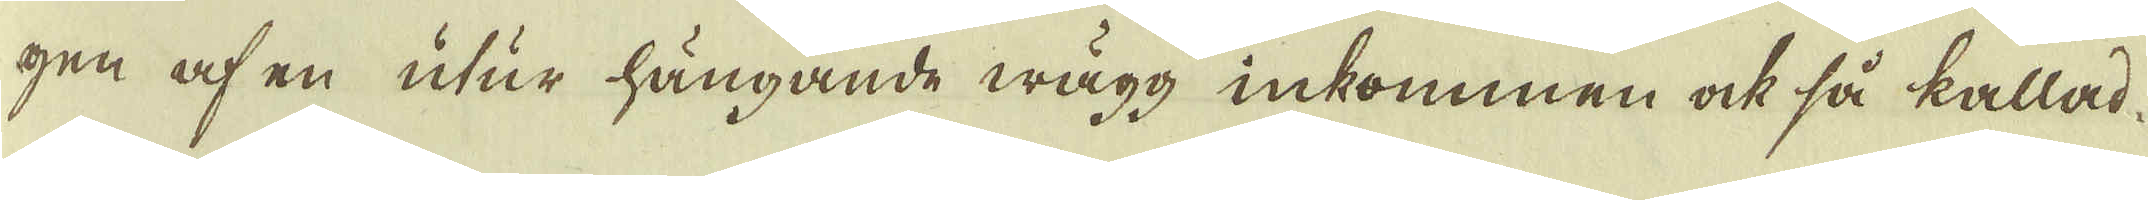gen af en utur hängande wägg inkommen ock så kallad,
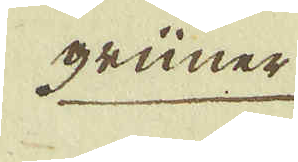grüner
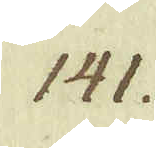141.
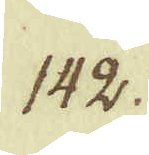142.
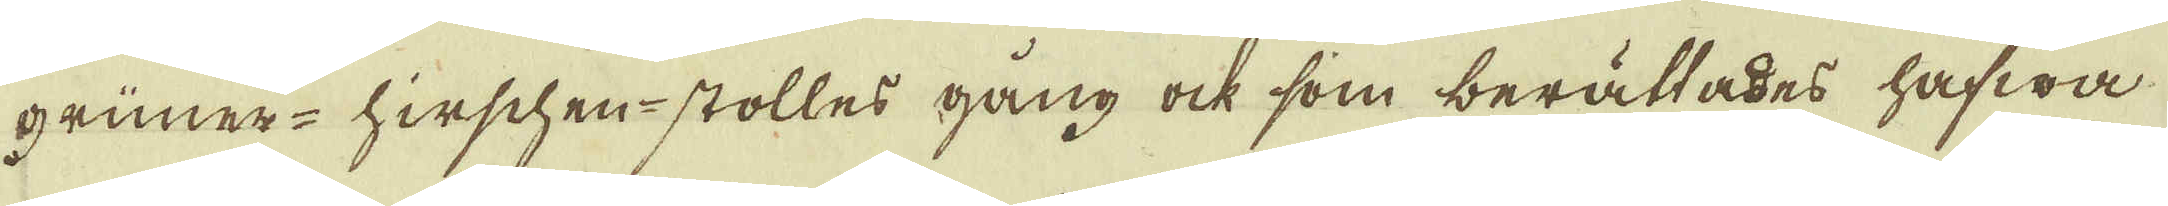grüner-hirschen-stolles gång ock som berättades hafwa
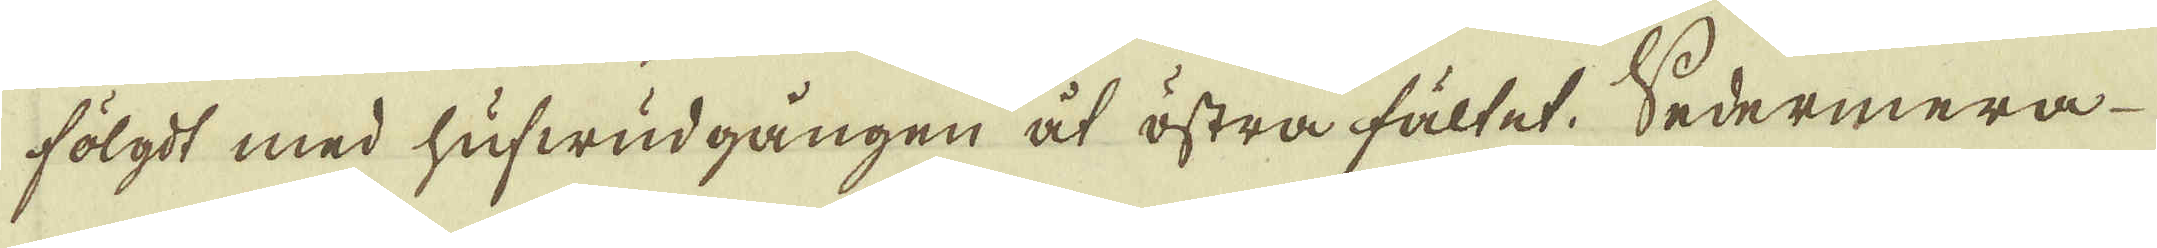fölgdt med hufwudgången åt östra fältet. Sedermera
